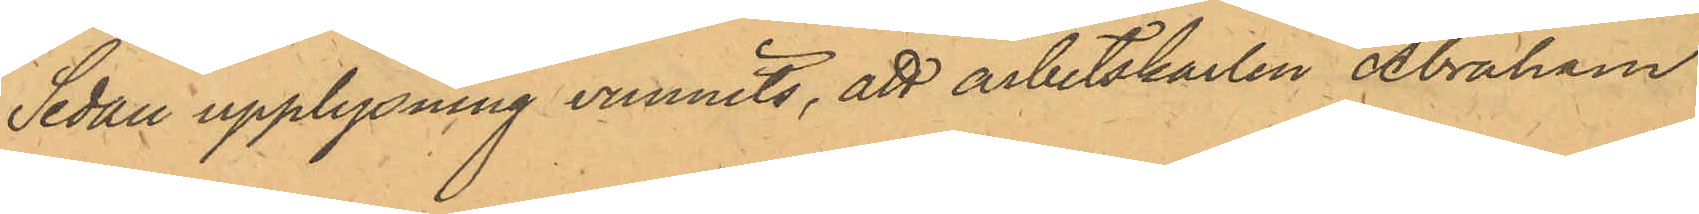Sedan upplysning vunnits, att arbetskarlen Abraham
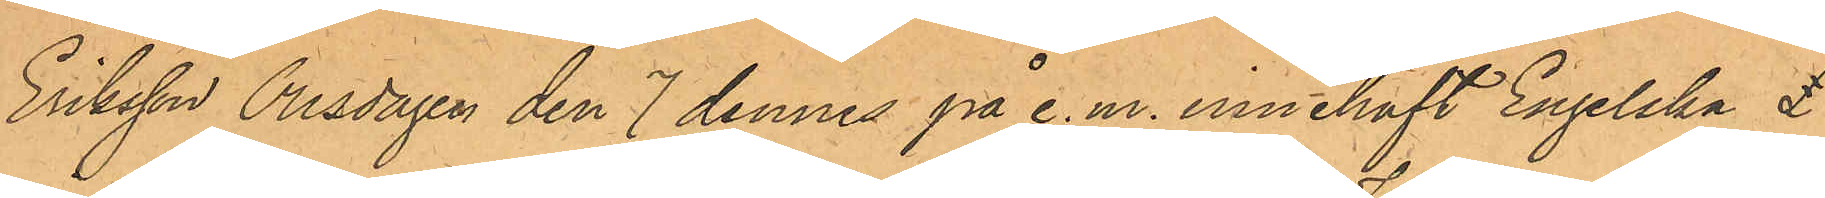Eriksson Onsdagen den 7 dennes på e.m. innehaft Engelska £
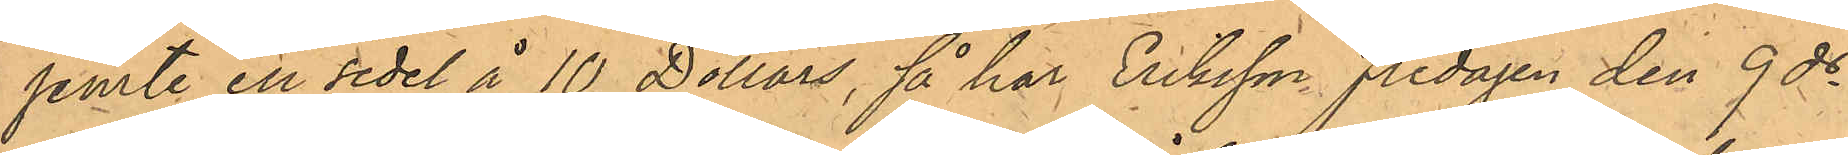jemte en sedel å 10 Dollars, så har Eriksson Fredagen den 9 ds
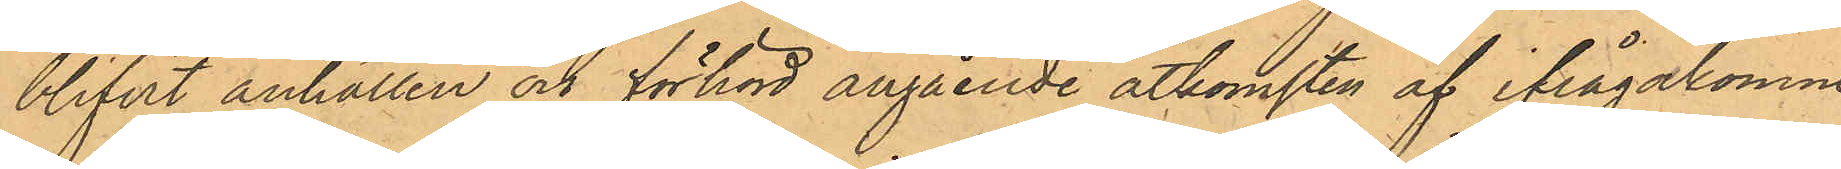blifvit anhållen och förhörd angående åtkomsten af ifrågakomne
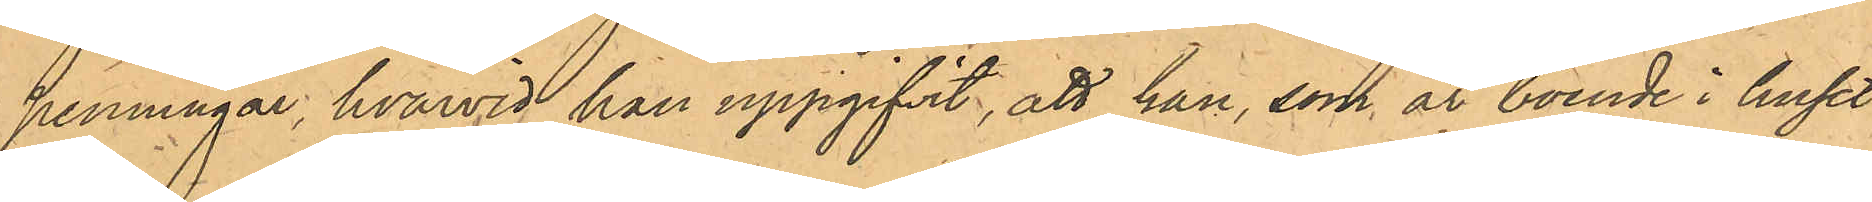penningar, hvarvid han uppgifvit, att han, som är boende i huset
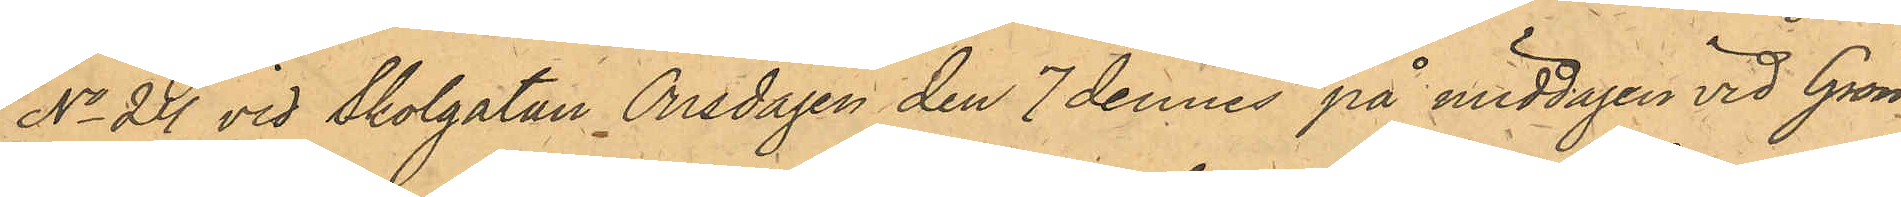No 24 vid Skolgatan Onsdagen den 7 dennes på middagen vid Grön¬
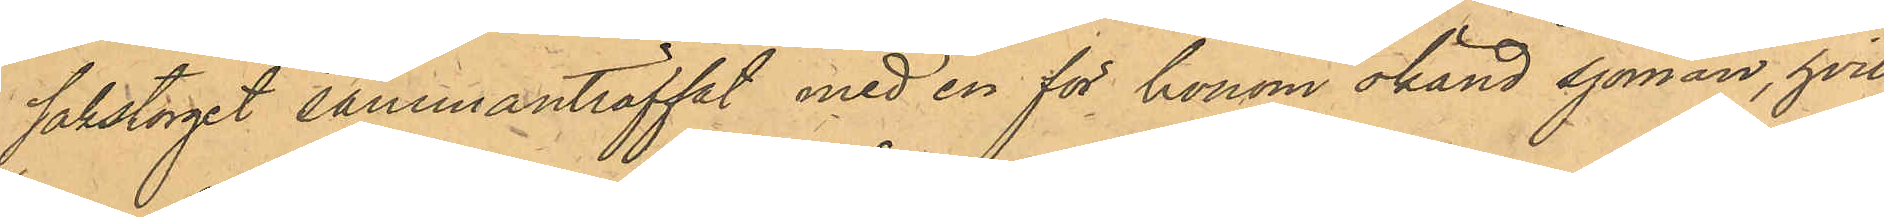sakstorget sammanträffat med en för honom okänd sjöman, hvil¬
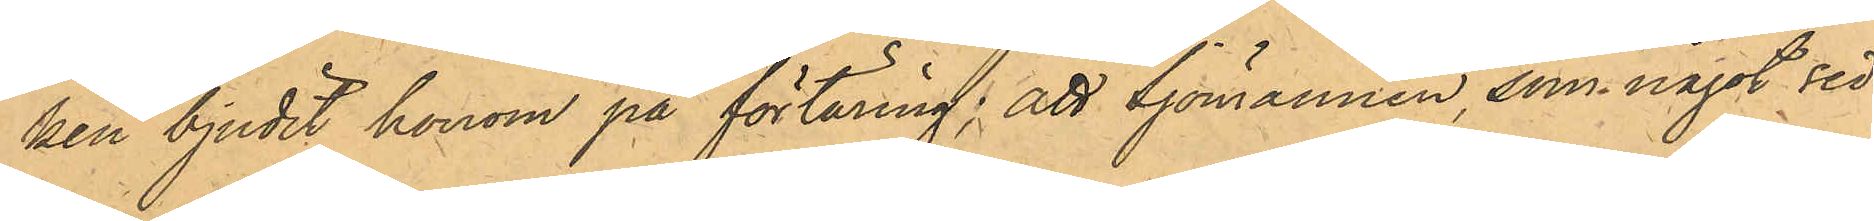ken bjudit honom på förtäring; att Sjömannen, som något sed¬
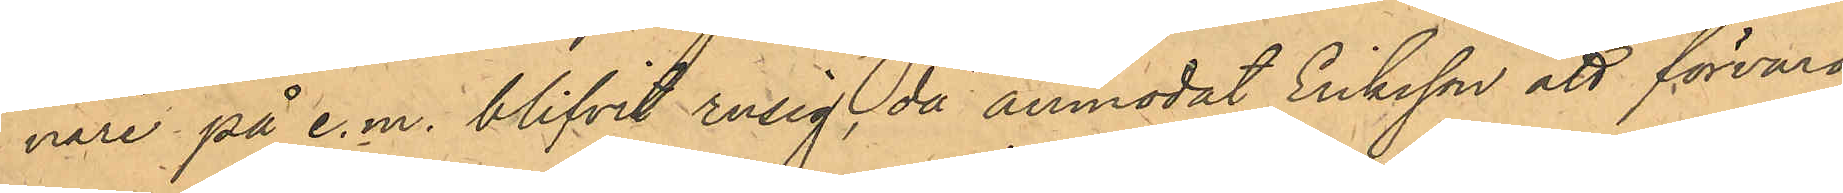nare på e.m. blifvit rusig, då anmodat Eriksson att förvara
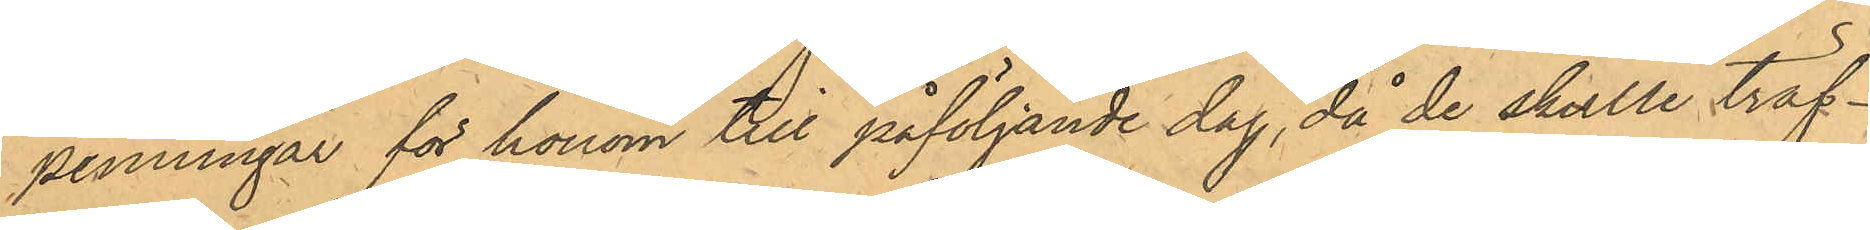penningar för honom till påföljande dag, då de skulle träf¬
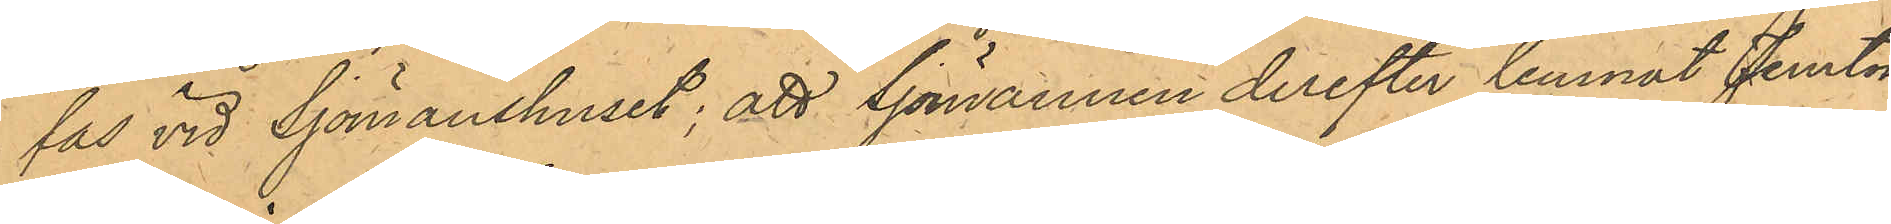fas vid Sjömanshuset; att Sjömannen derefter lemnat Femton
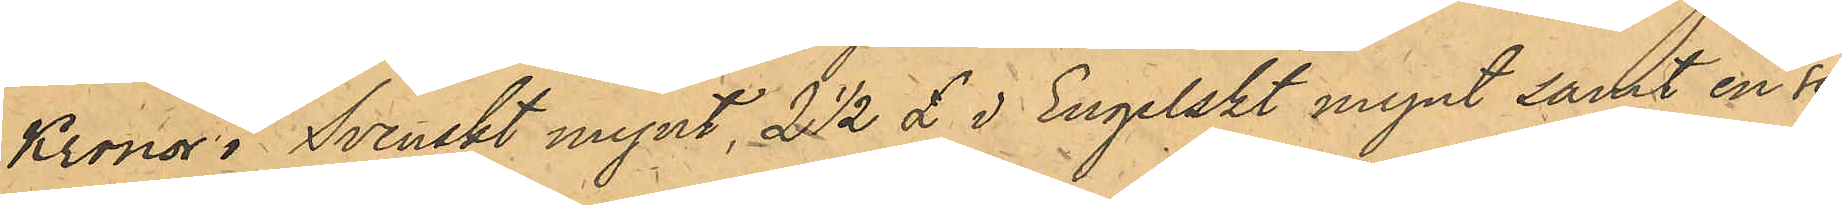Kronor i Svenskt mynt, 2 1/2 £ i Engelskt mynt samt en se¬
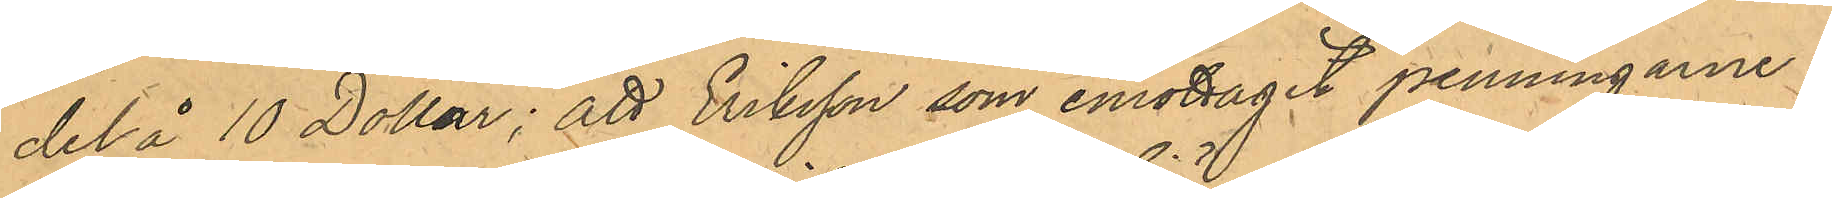del å 10 Dollar; att Eriksson som emottagit penningarne i
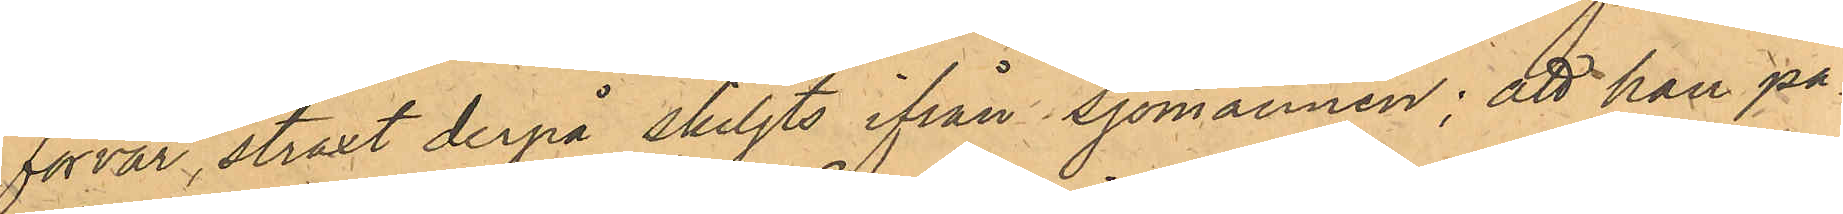förvar, straxt derpå skiljts ifrån Sjömannen; att han på¬
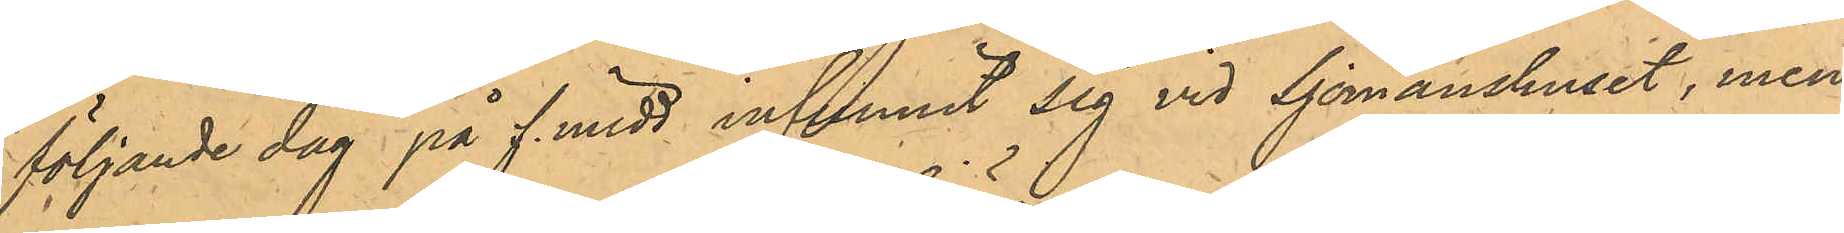följande dag på f. midd infunnit sig vid Sjömanshuset, men 
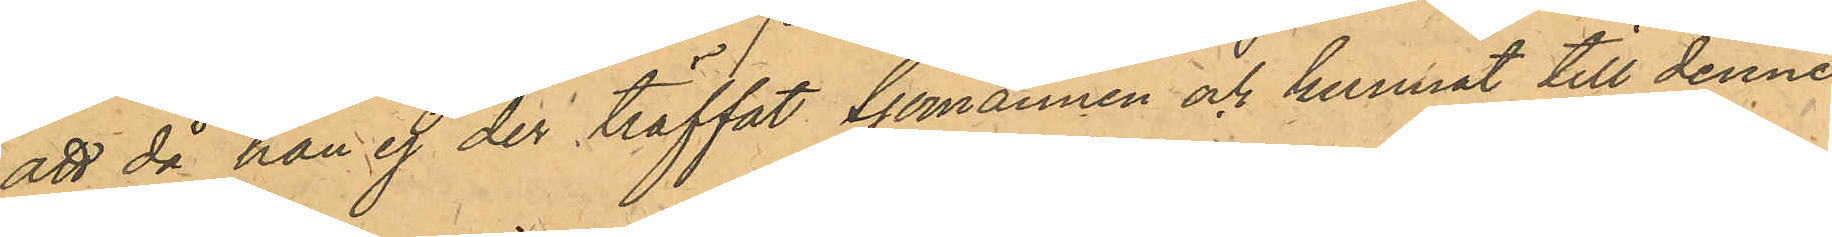att då han ej der träffat Sjömannen och kunnat till denne
